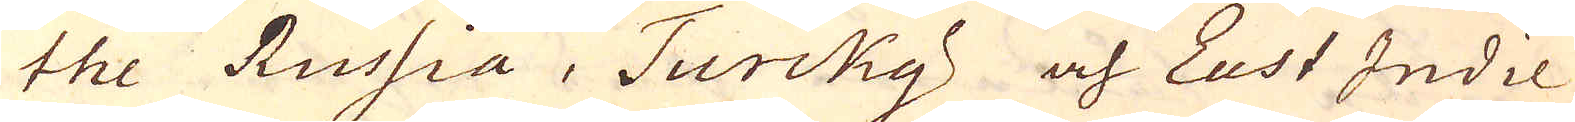the Russia, Turcky och East Indie
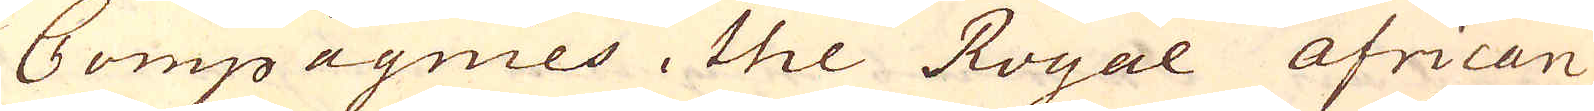Compagnies, the Royal African
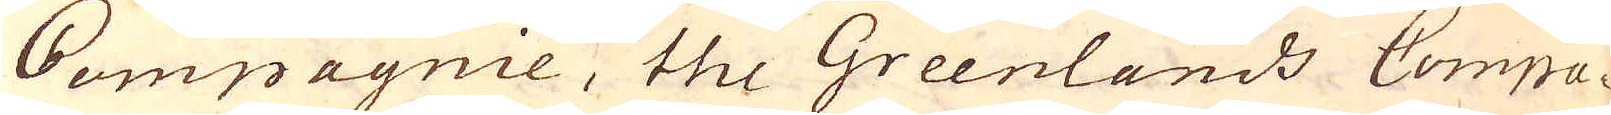Compagnie, the Greenlands Compa-
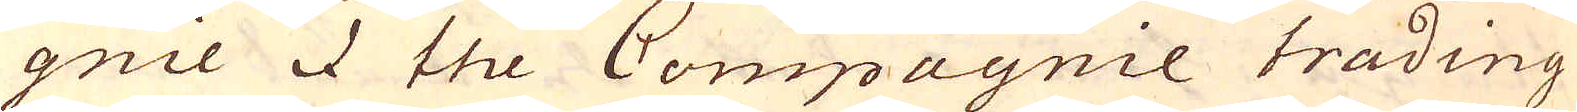gnie & the Compagnie trading
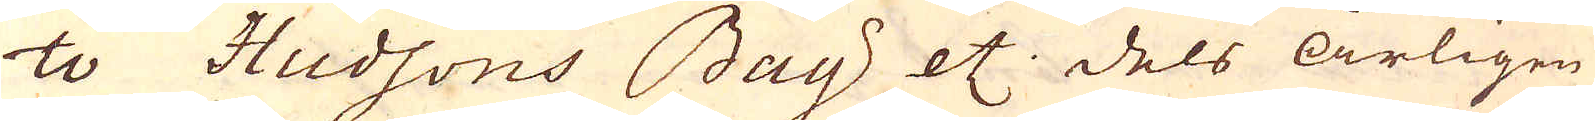to Hudsons Bay etc. dels årligen
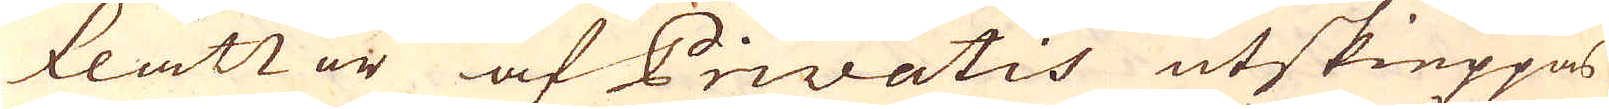flåttor af Privatis utskieppas
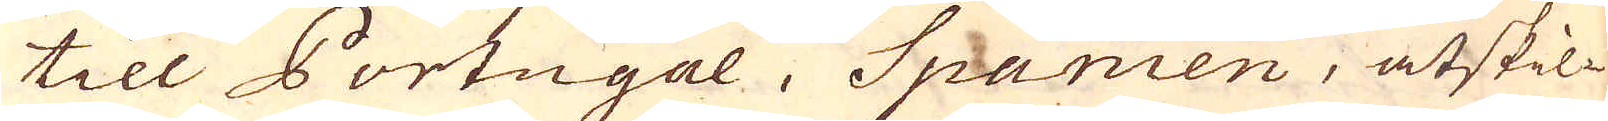till Portugal, Spanien, åtskil-
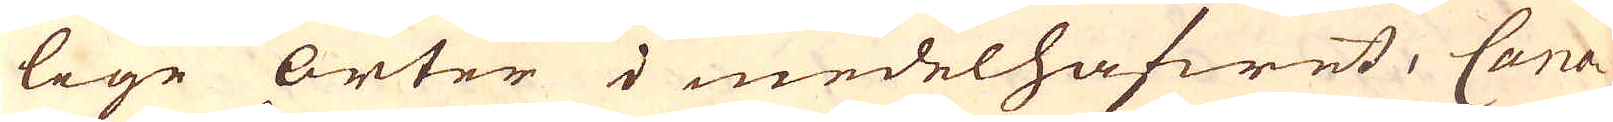lige orter i medelhafwet, Cana-
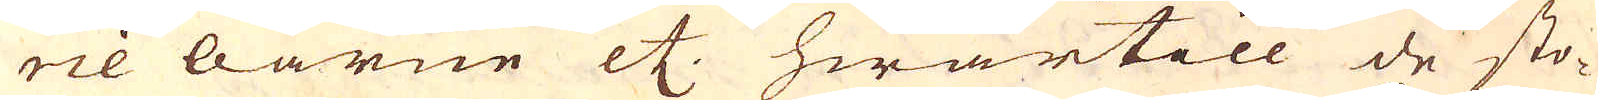rie öarne etc. hwartill de sto-
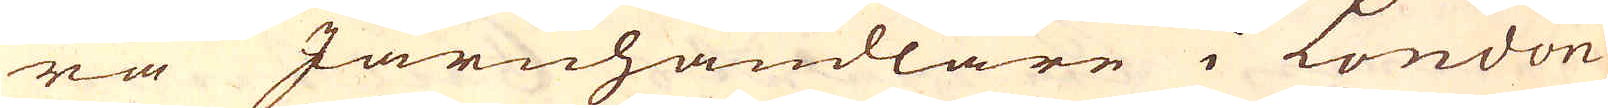ra Järnhandlare i London
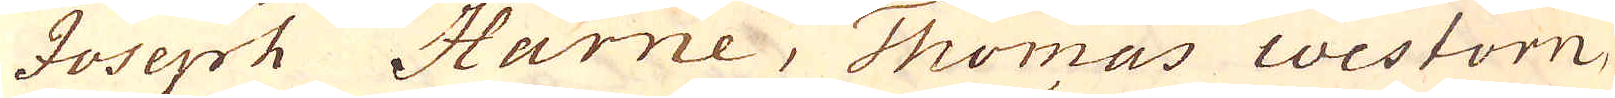Joseph Harne, Thomas Westorn,
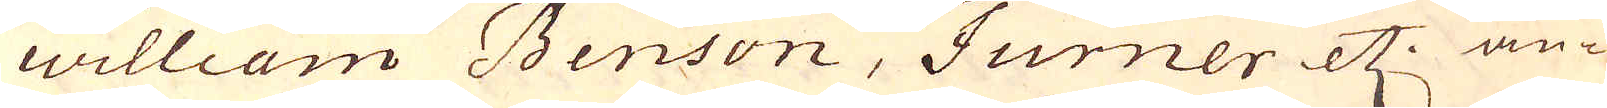William Benson, Turner etc. an-
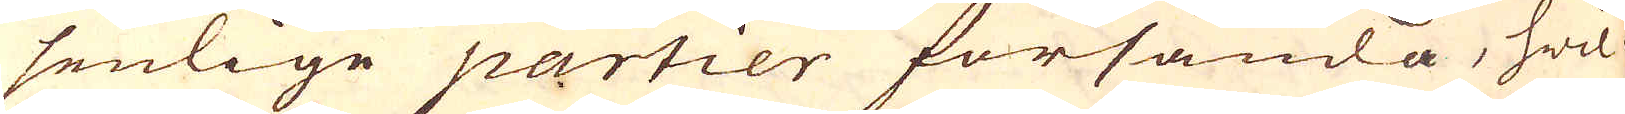senlige partier försända, hwil-
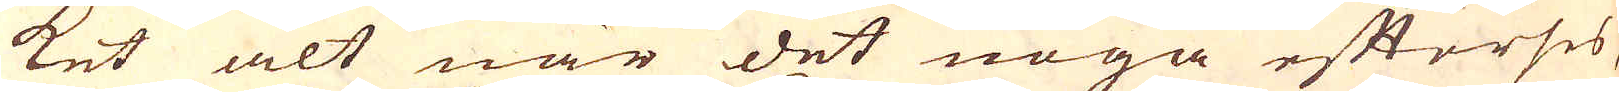ket alt när det noga efterses,
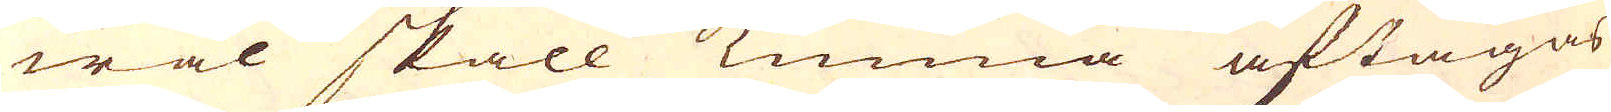wäl skall kunna aftagas
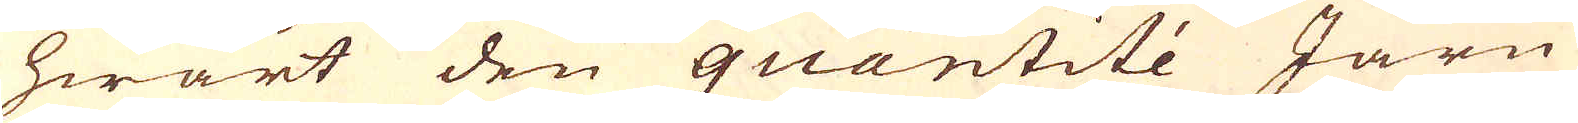hwart den quantité Järn
